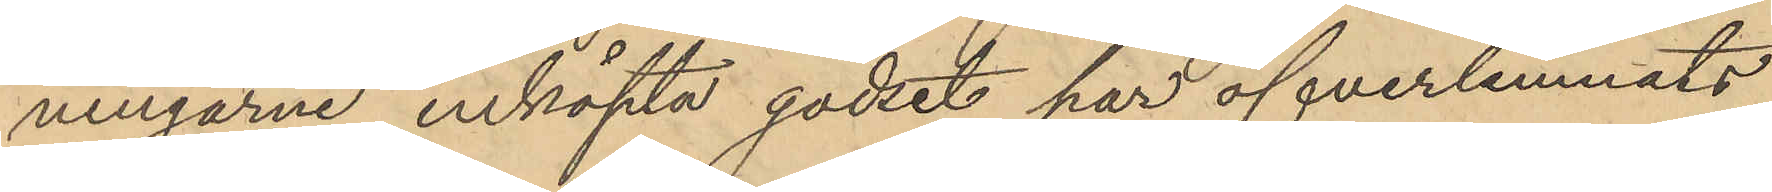ningarne inköpta godset har öfverlemnats
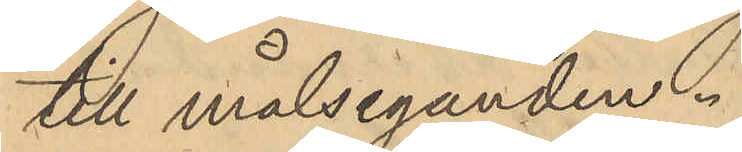till målseganden.
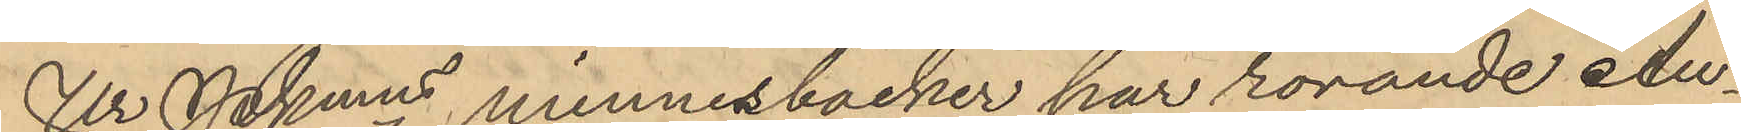Ur Pkmns minnesböcker har rörande Au¬
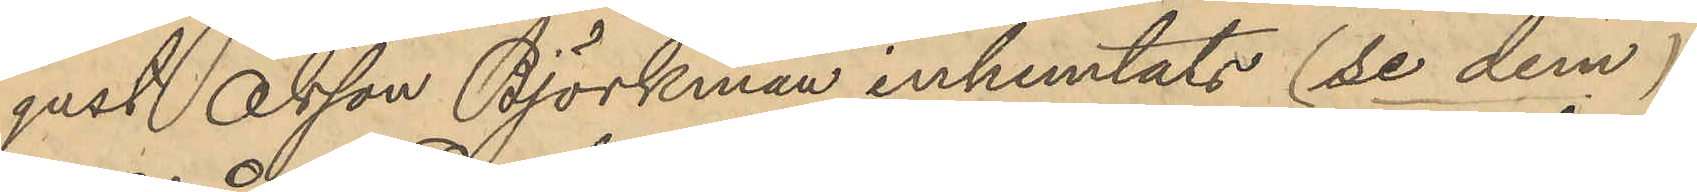gust Olsson Björkman inhemtats (se dem)
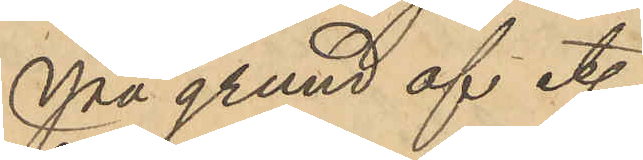På grund af et.
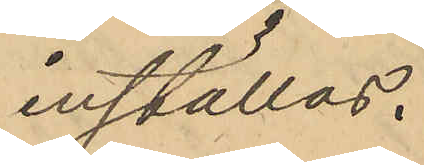inställas.
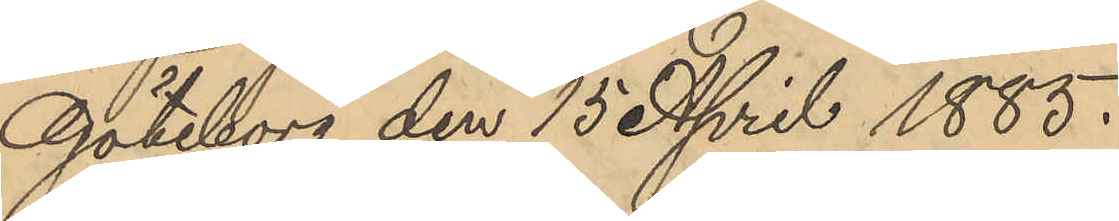Göteborg den 15 April 1885.
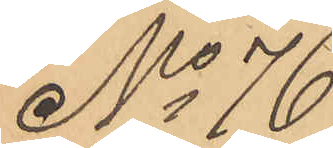No 76
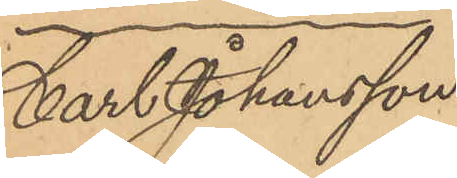Carl Johansson
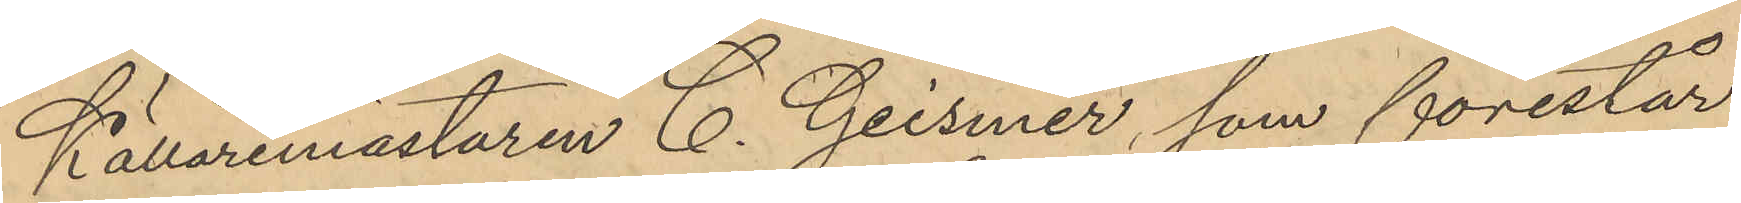Källaremästaren C. Geismer, som förestår
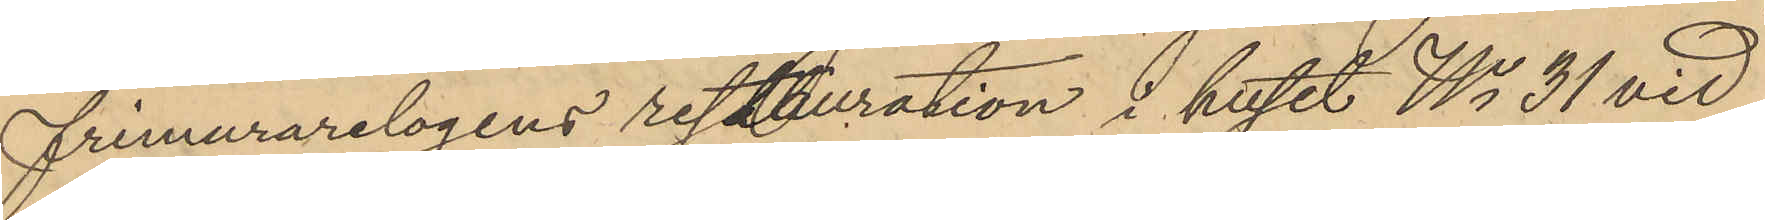frimurarelogens restauration i huset No 31 vid
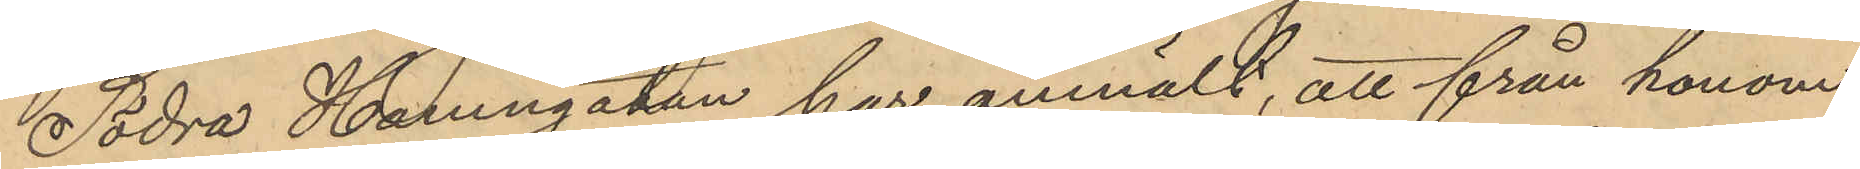Södra Hamngatan har anmält, att från honom
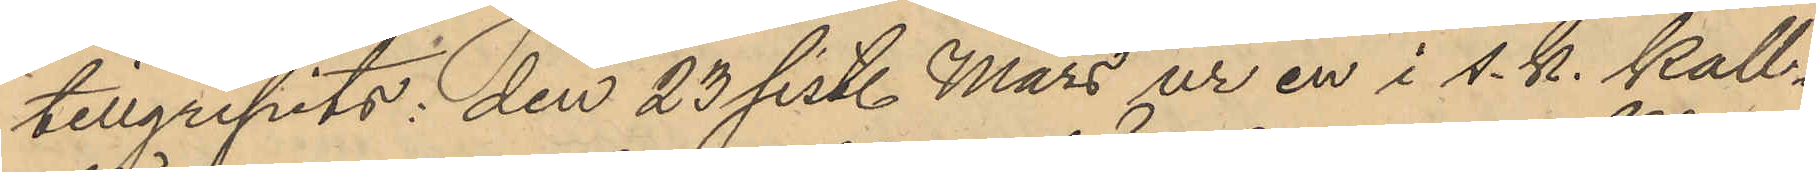tillgripits, den 23 sist. Mars ur en i s. k. kall¬
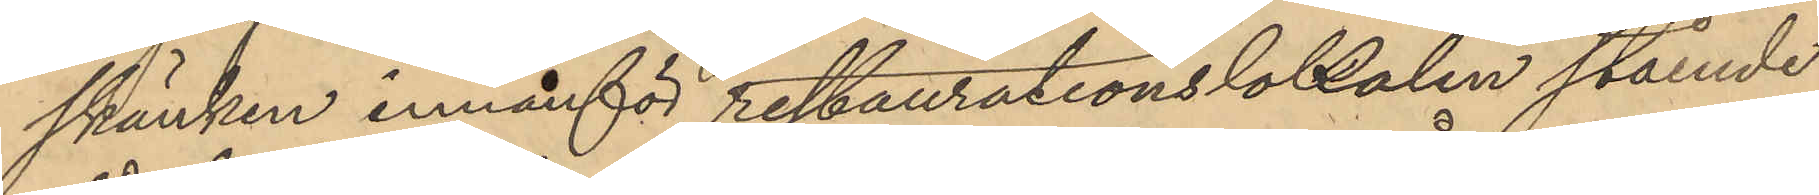skänken innanför restaurationslokalen stående
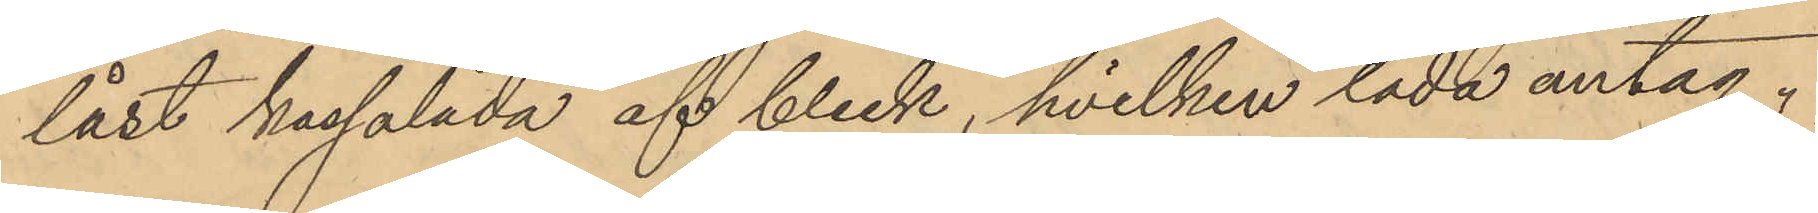låst kassalåda af bleck, hvilken låda antag¬
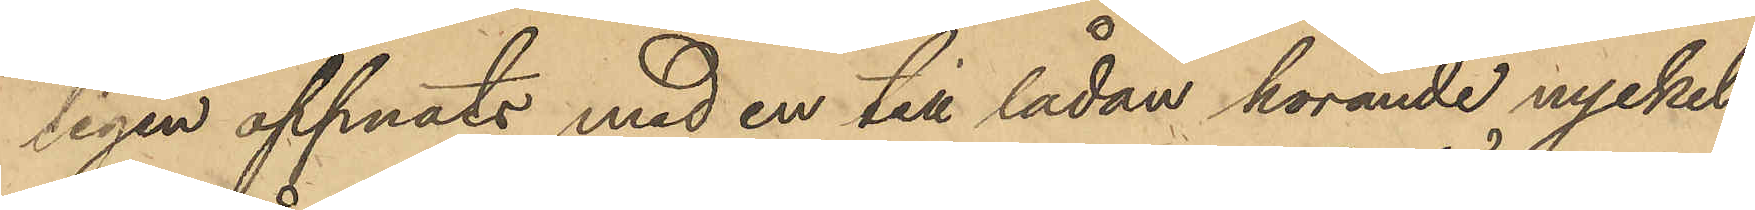ligen oppnats med en till lådan hörande nyckel
